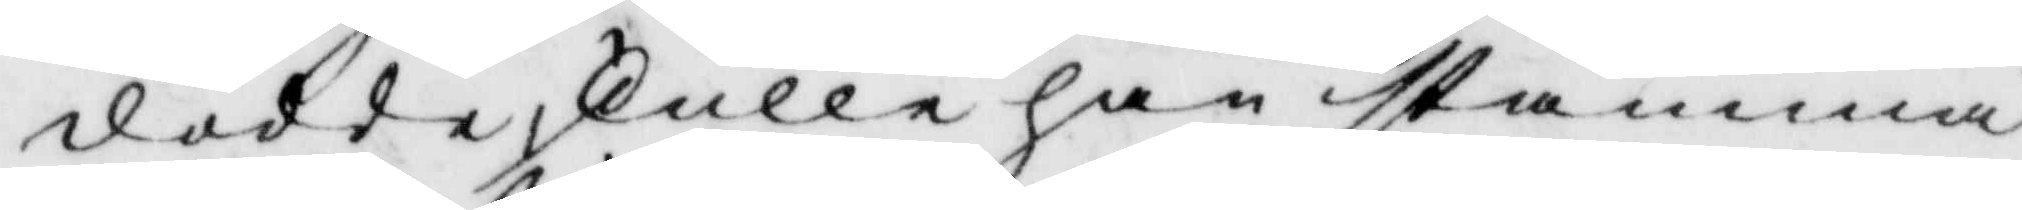dödde, skulle han stämma
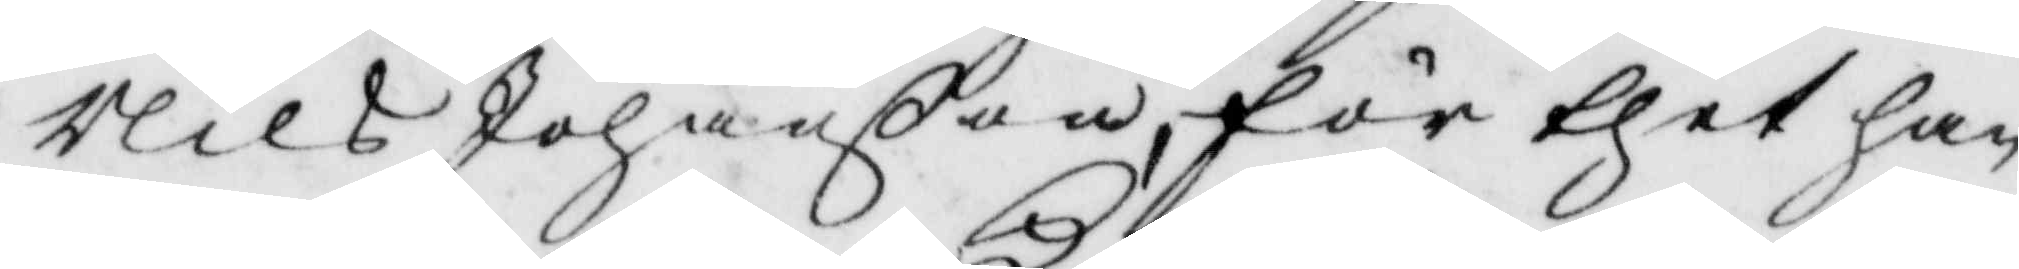Nils Johanßon, för thet han
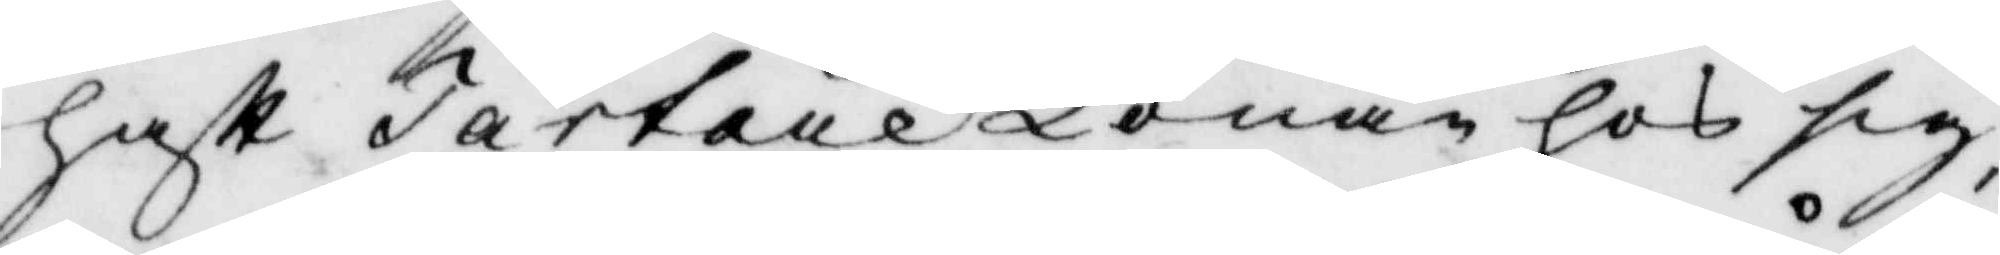haft TartareKonan hos sig,
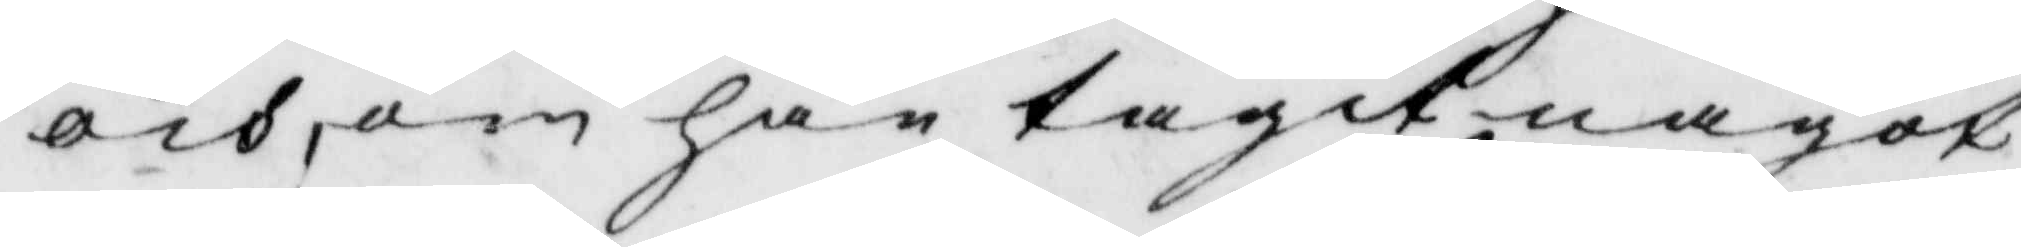och som han tagit något
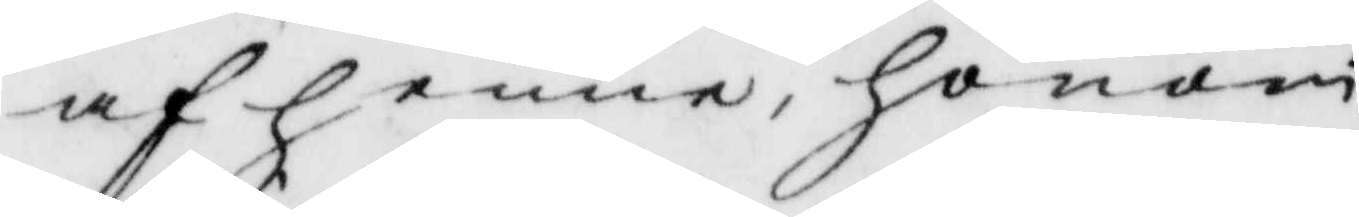af henne, honom
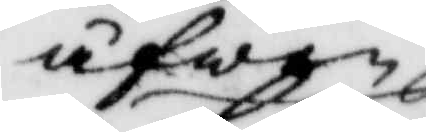äfwen
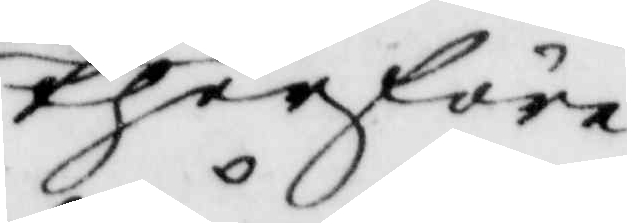therföre
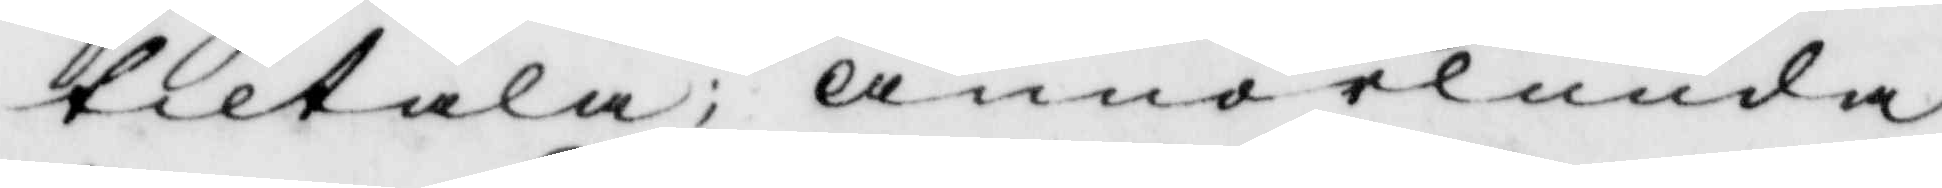tiltala; annorlunda
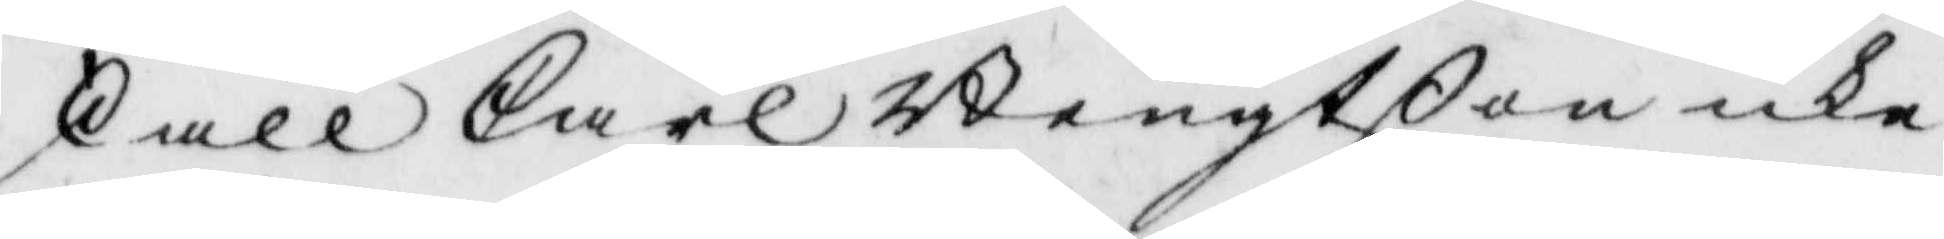skall Carl Bengtßon icke
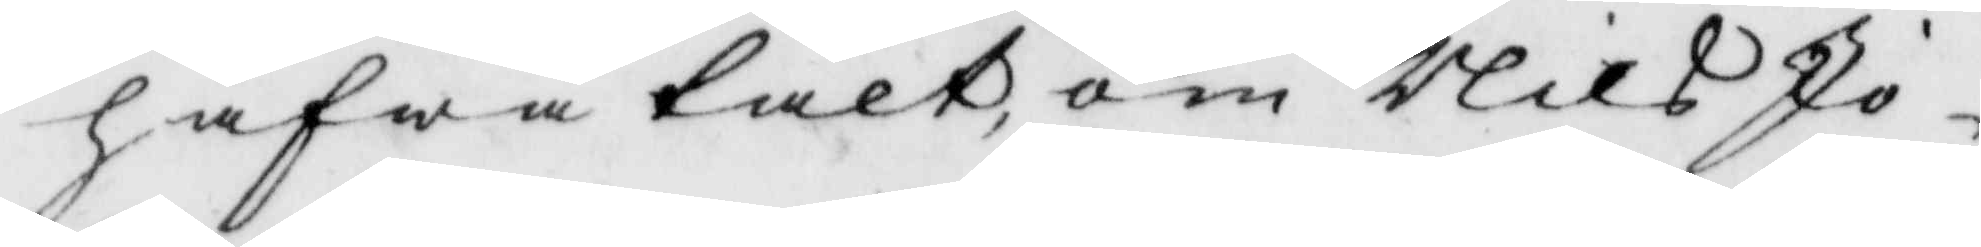hafwa talt, om Nils Jo¬
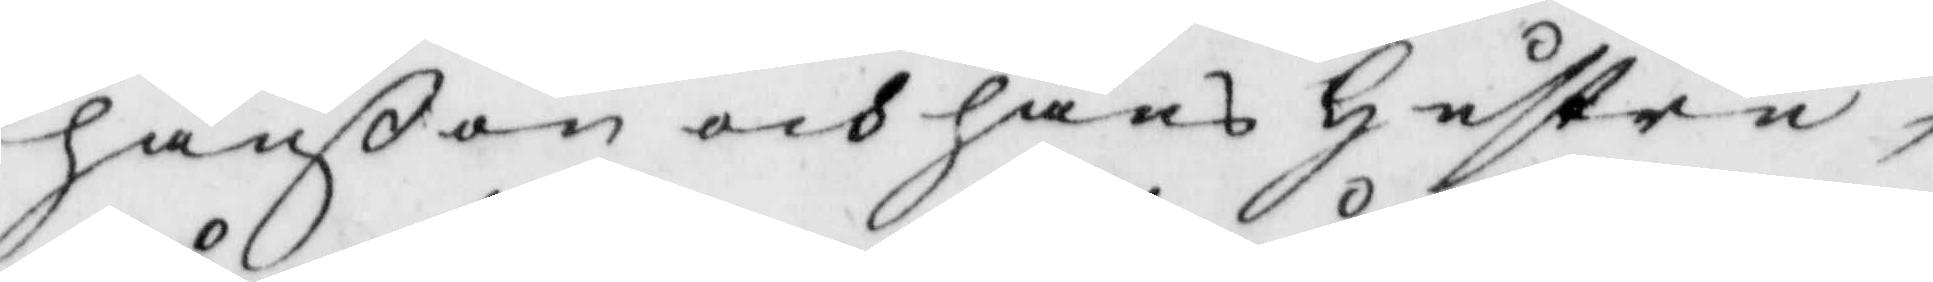hanßon och hans hustru,
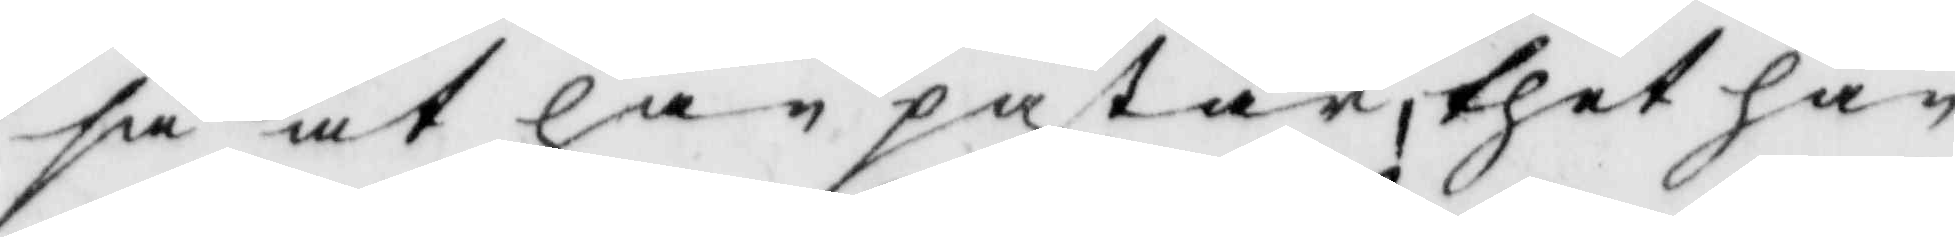så at han påstår, thet han
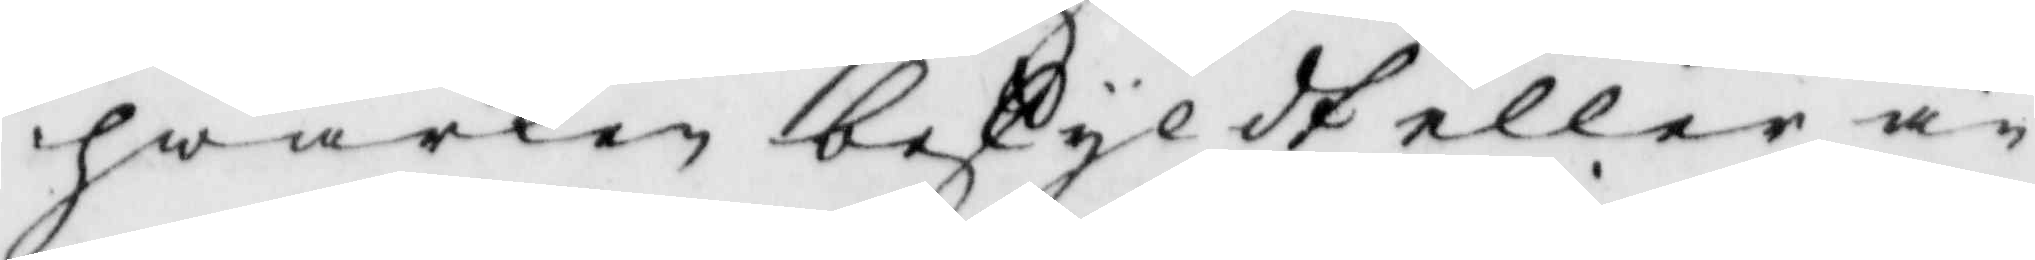hwarken beskyldt eller än¬
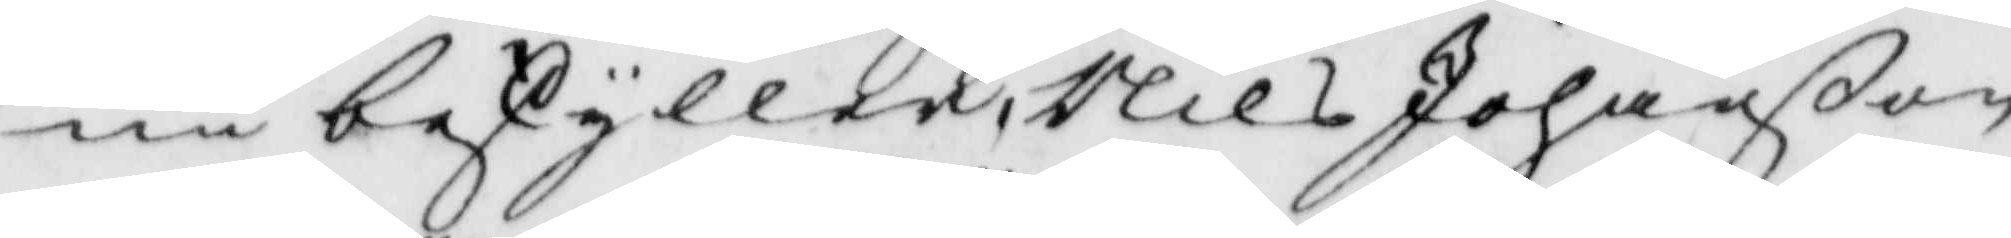nu beskyller, Nils Johanßon
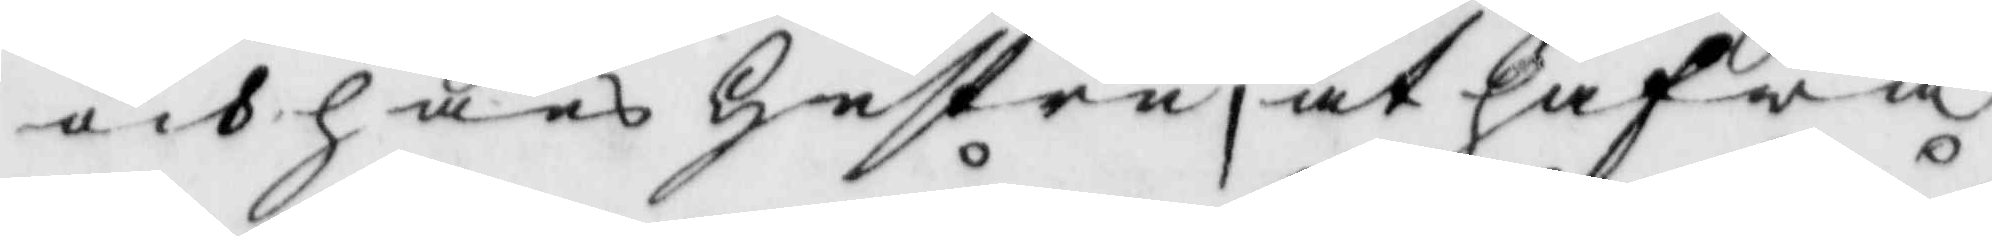och hans hustru, at hafwa
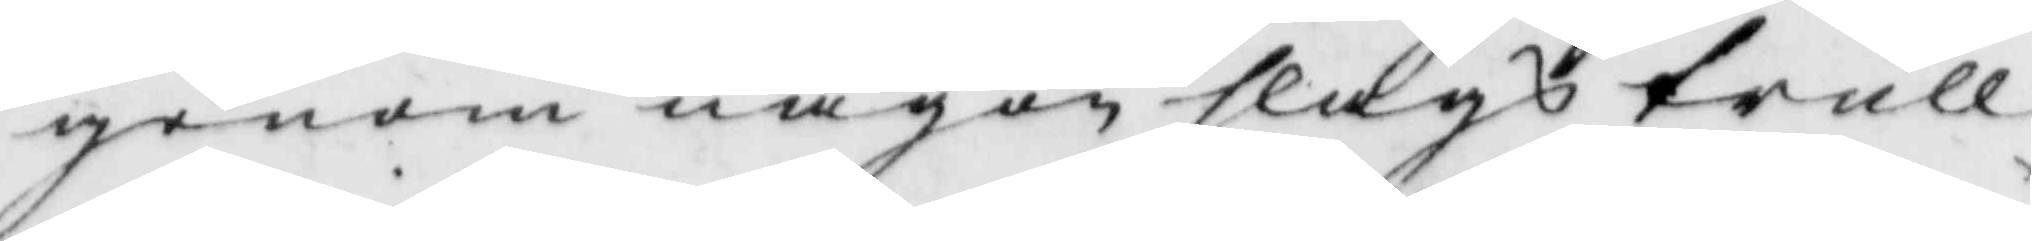genom någon slags trull¬
